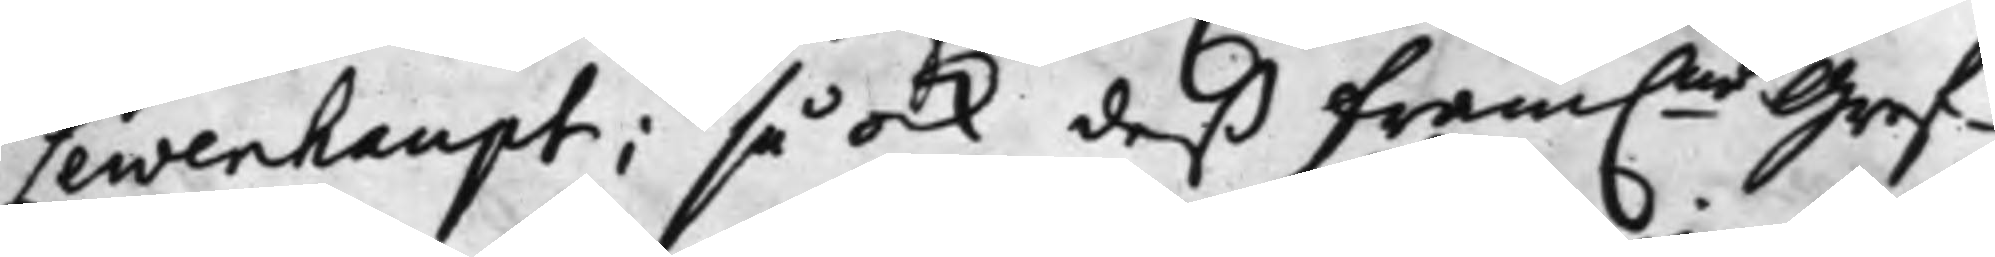Lewenhaupt; så ock deß Fram.ne Gref¬
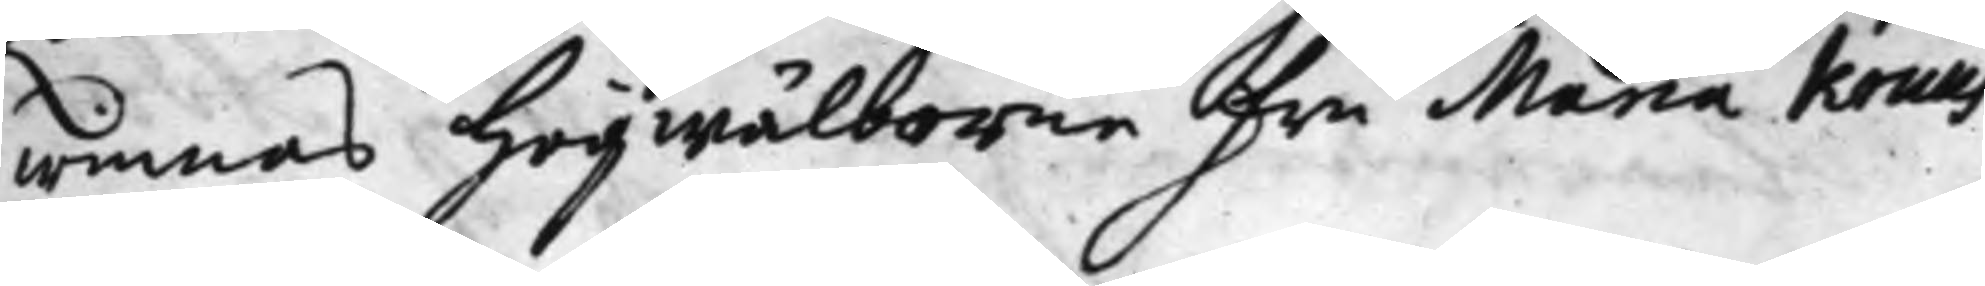winnas Högwälborne Fru Maria Kruus
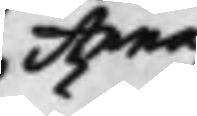Anna
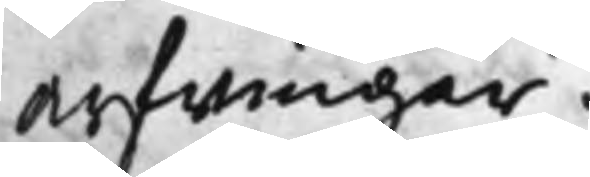Arfwingar.
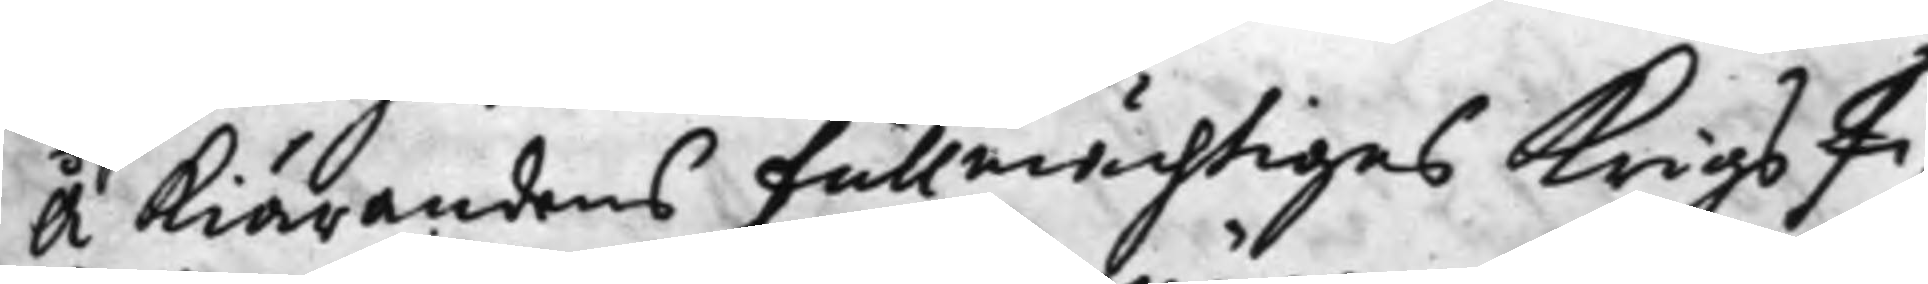Å Kiärandens Fullmächtiges KrigsFi¬
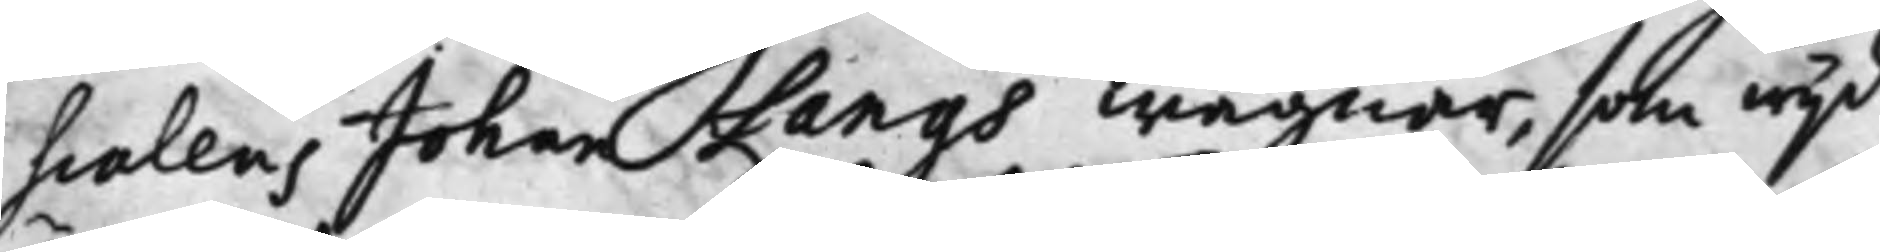scalens Johan Langs wägnar, som wijd
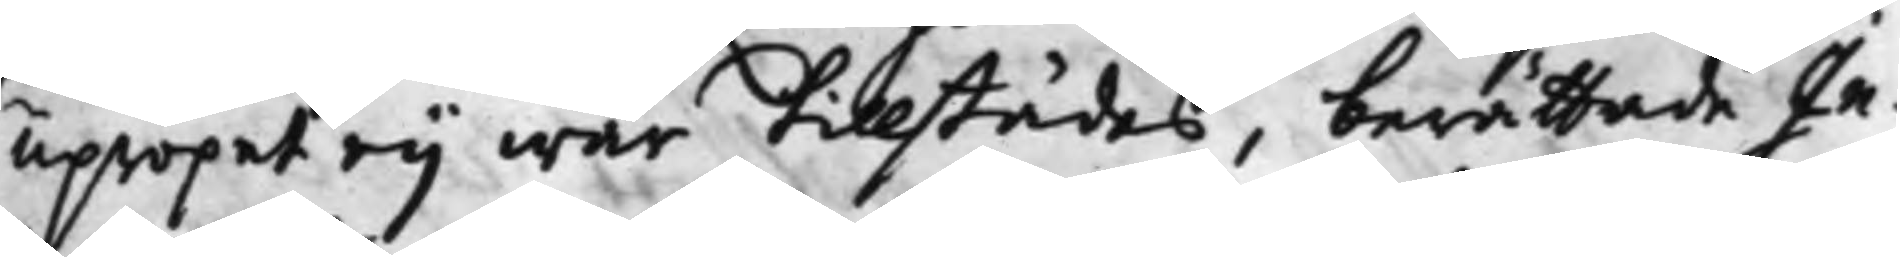upropet eij war tillstädes, berättade In¬
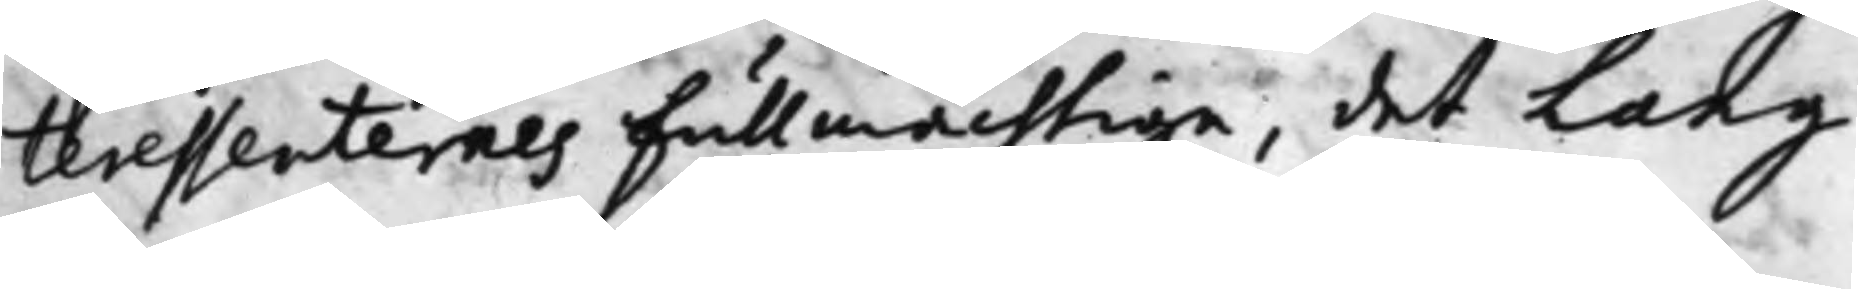teressenternes Fullmächtige, det Lang
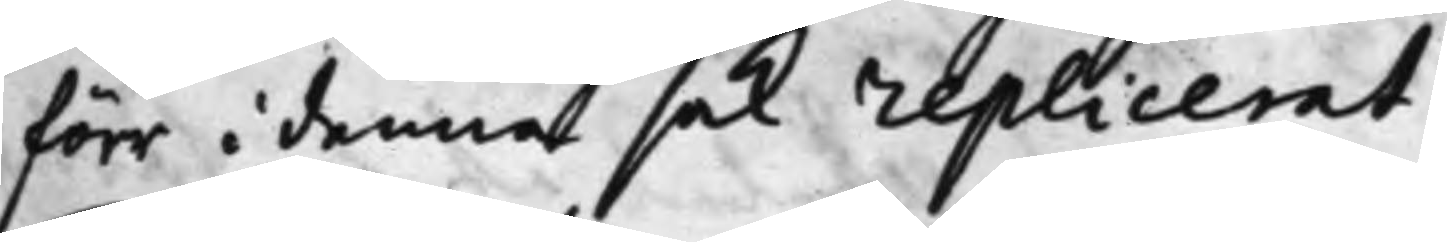förr i denna sak replicerat.
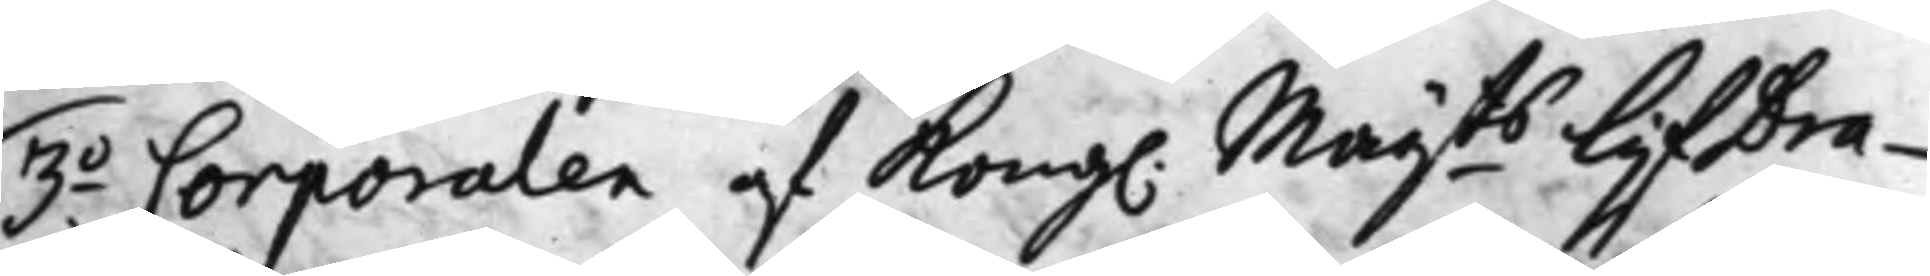3.o Corporalen af Kong. Maij.ts LijfDra¬
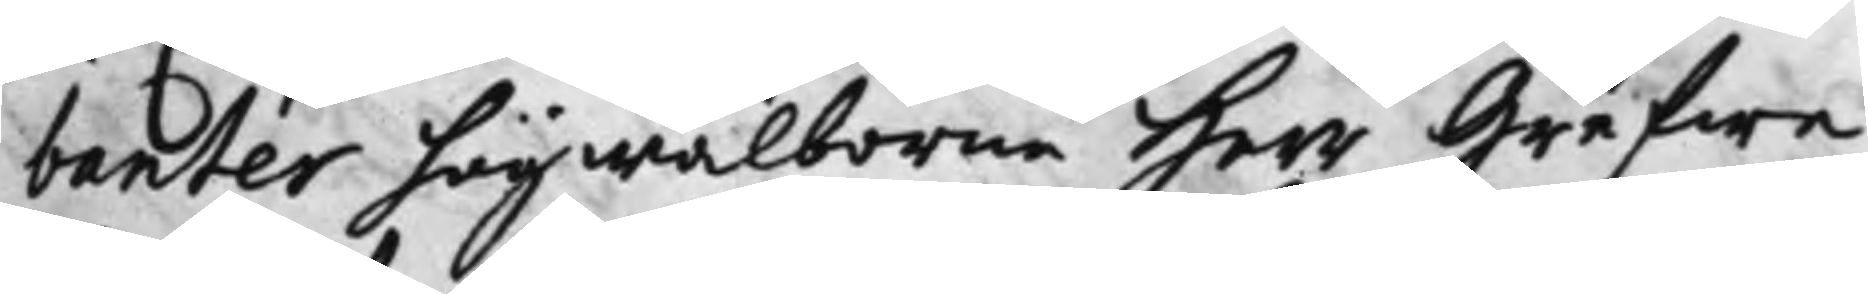banter högwälborne Herr Grefwe
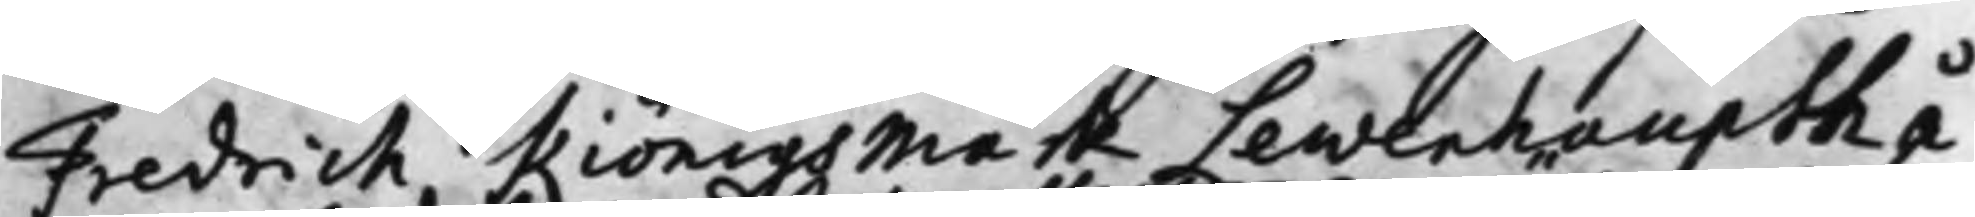Fredrick Kiönigsmark Lewenhaupth å
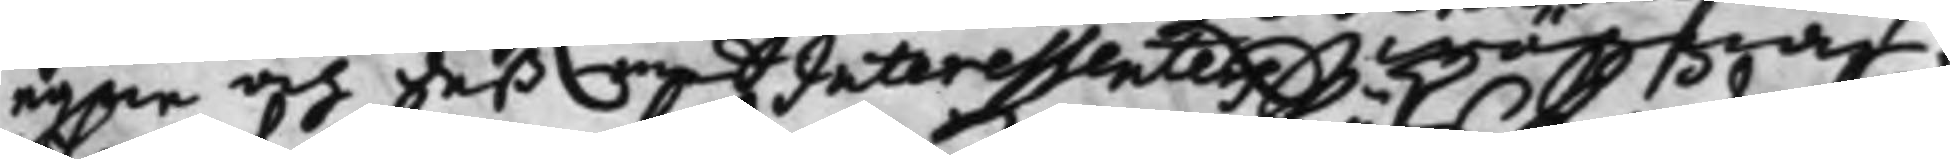egne och deß medInteressenters wägnar;
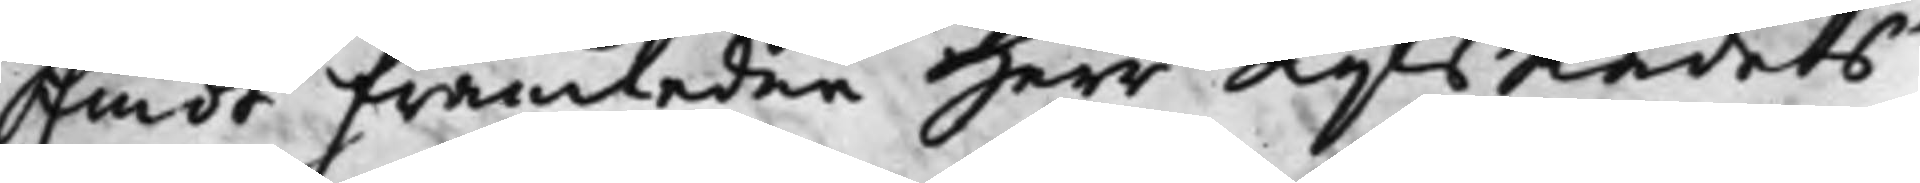Emot Framledne Herr RijksRådets
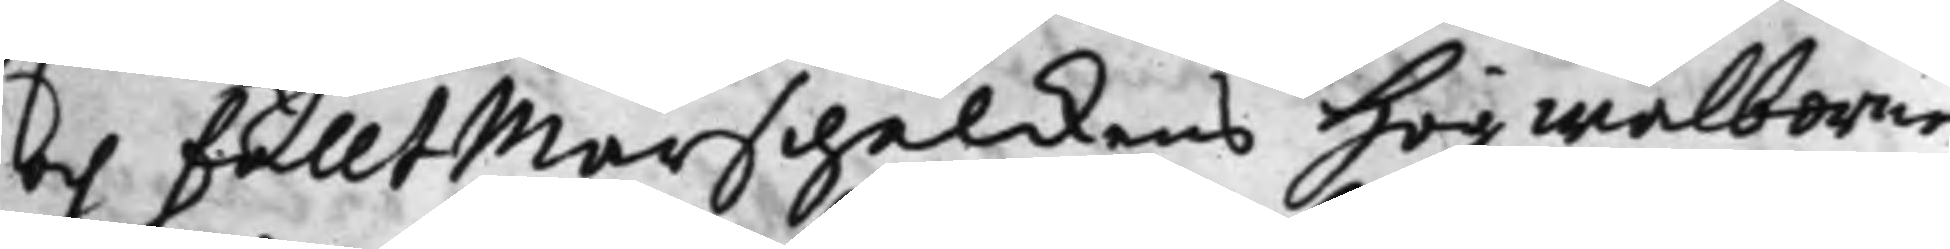och FälltMarschalkens Högwälborne
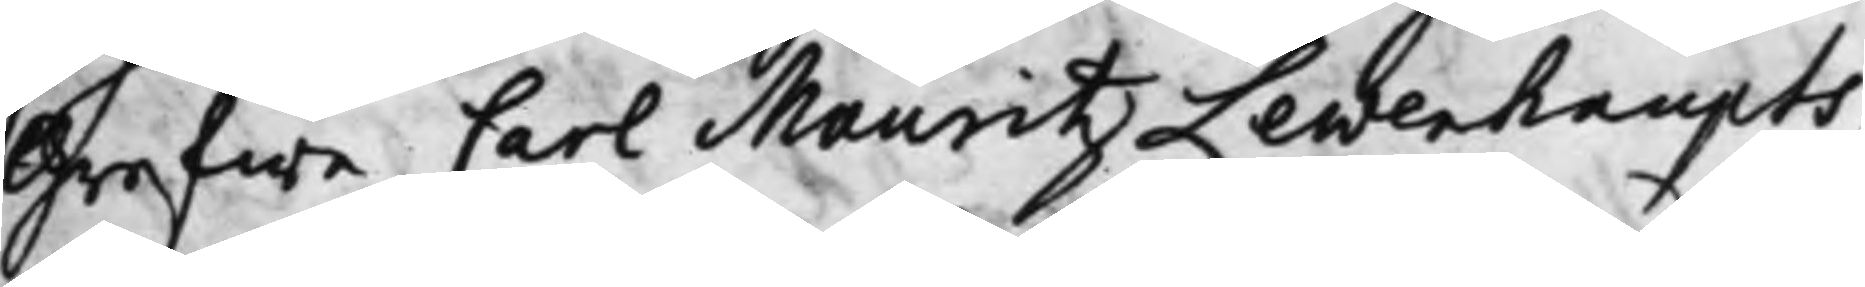Grefwe Carl Maurits Lewenhaupts,
